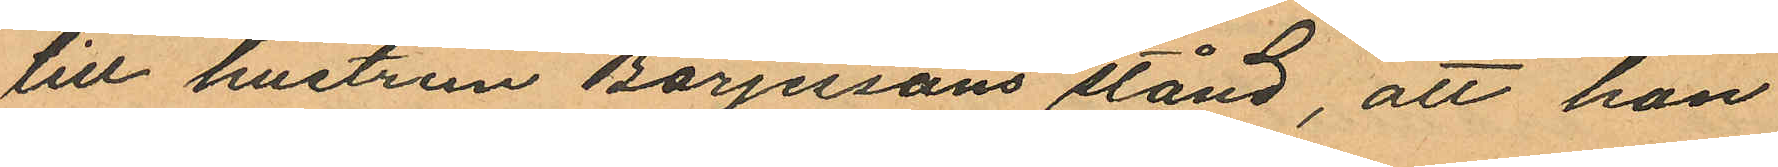till hustrun Börjessons stånd, att hon
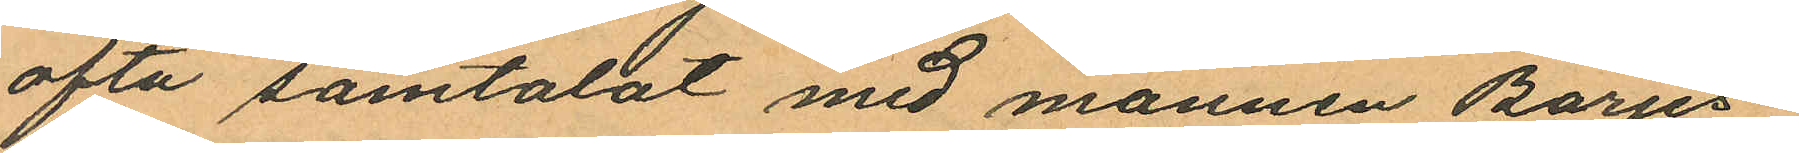ofta samtalat med mannen Börjes¬
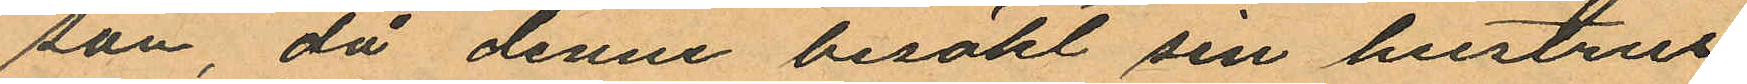son då denne besökt sin hustrus
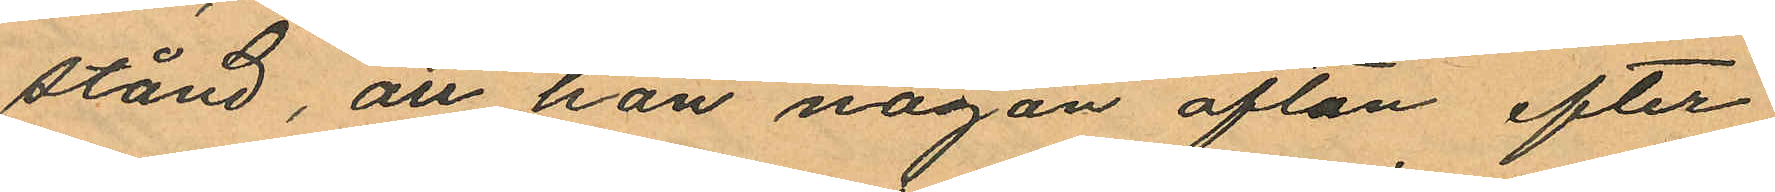stånd, att han någon afton efter
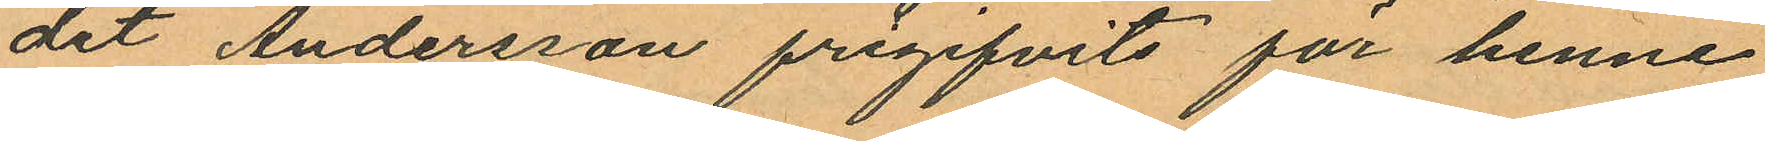det Andersson frigifvits för henne
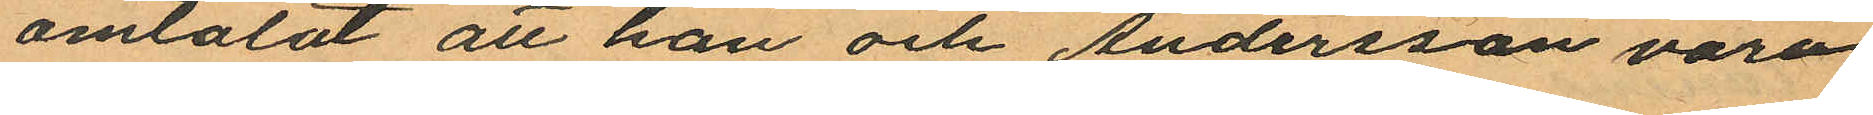omtalat att han och Andersson voro
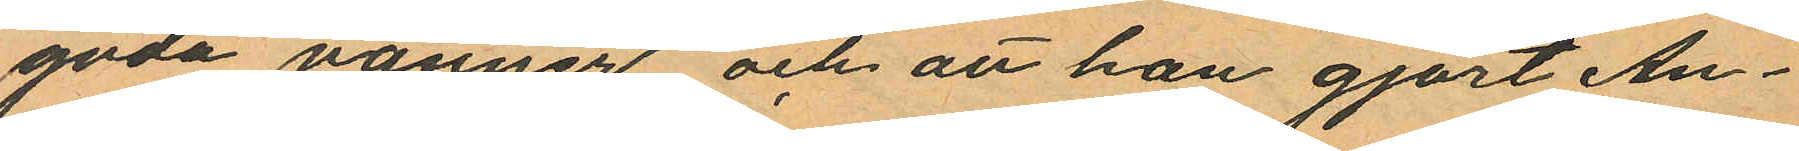goda vänner och att han gjort An¬
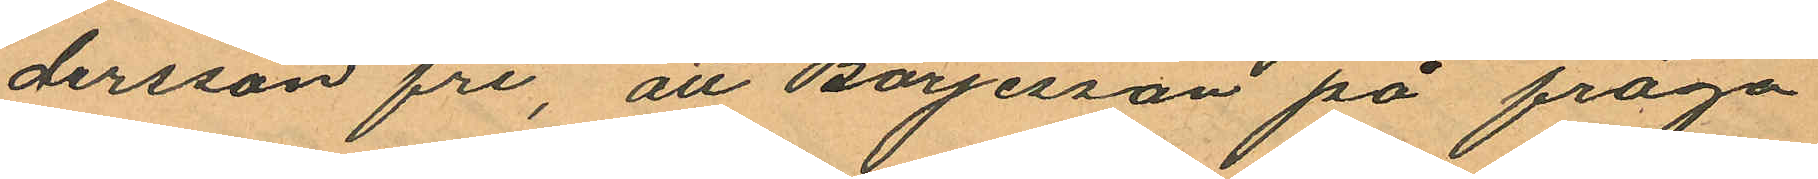dersson fri, att Börjesson på fråga
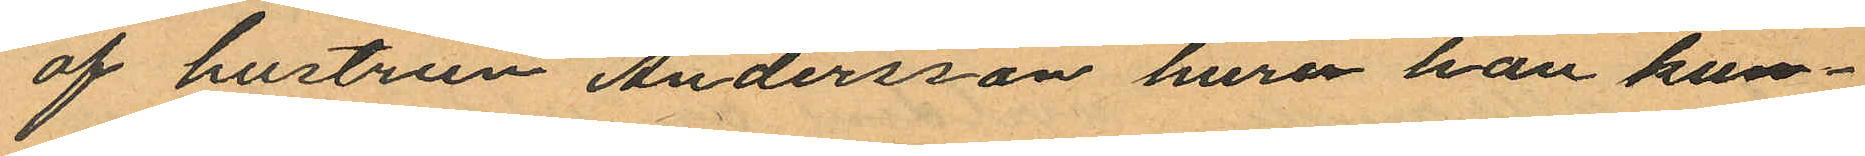af hustrun Andersson huru han kun¬
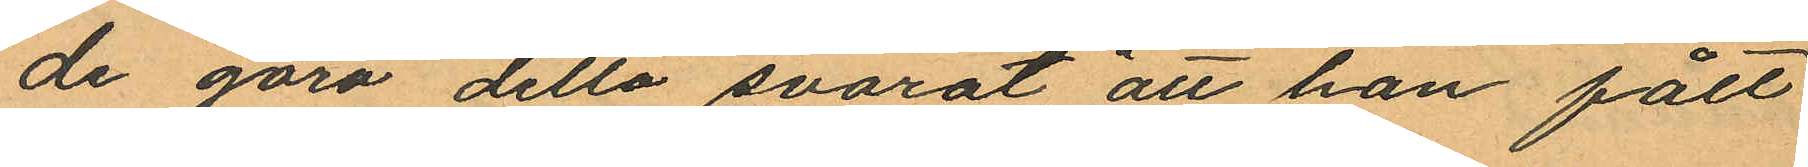de göra detta svarat "att han fått
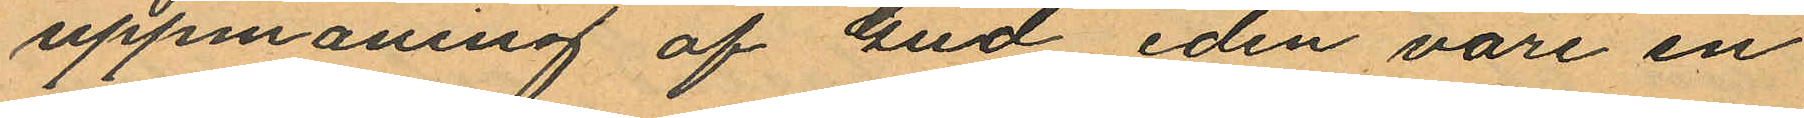uppmaning af Gud eden vore en
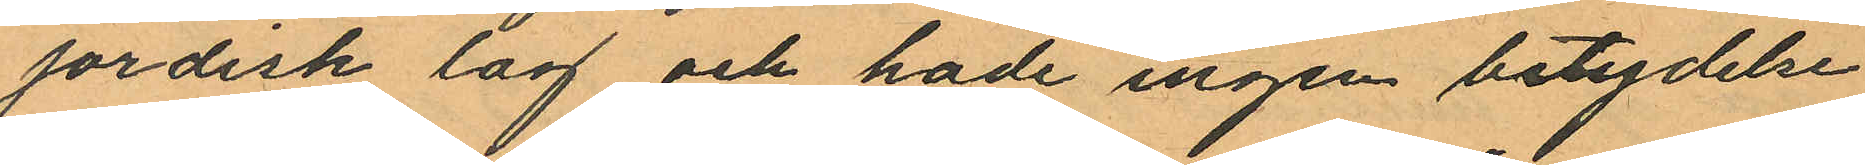jordisk lag och hade ingen betydelse
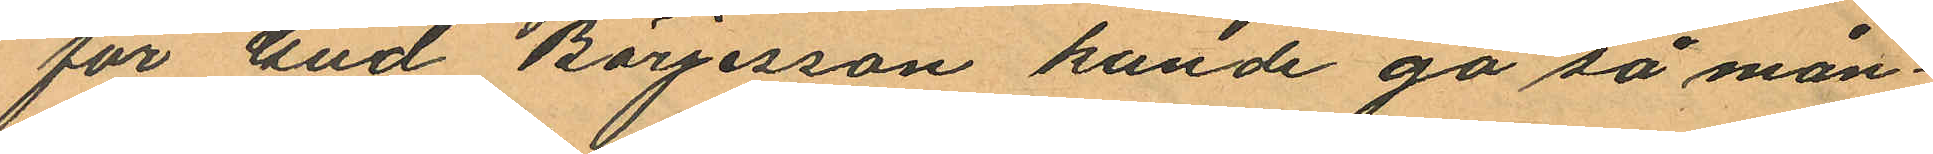för Gud, Börjesson kunde gå så mån¬
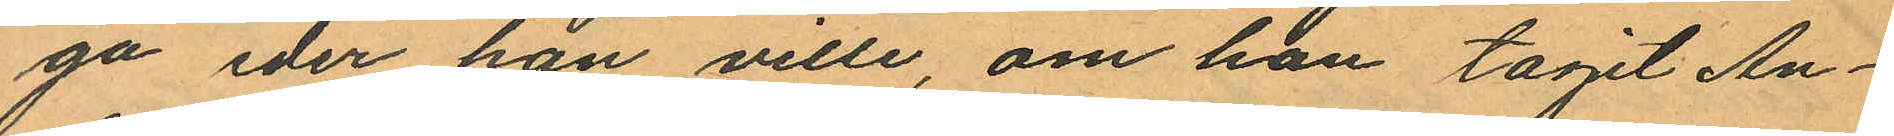ga eder han ville, om han tagit An¬
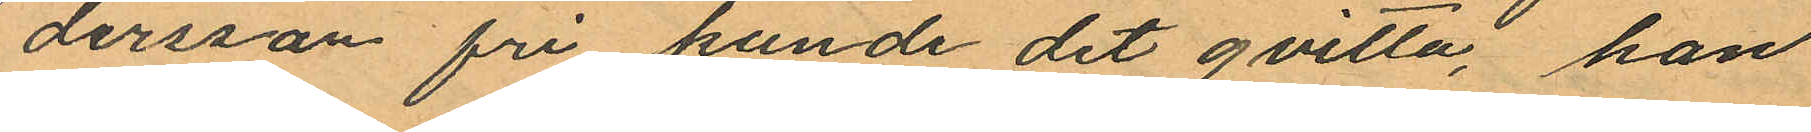dersson fri kunde det qvitta, han
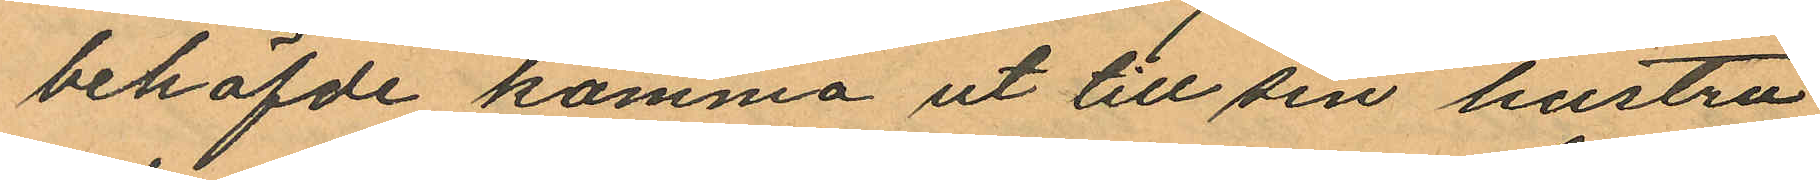behöfde komma ut till sin hustru
